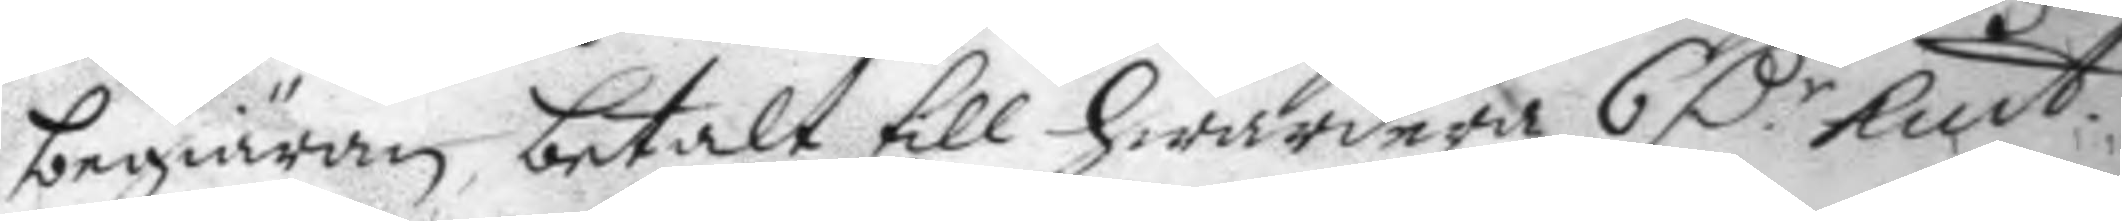begiäran, betalt till hwardera 6 D:r kmt. 
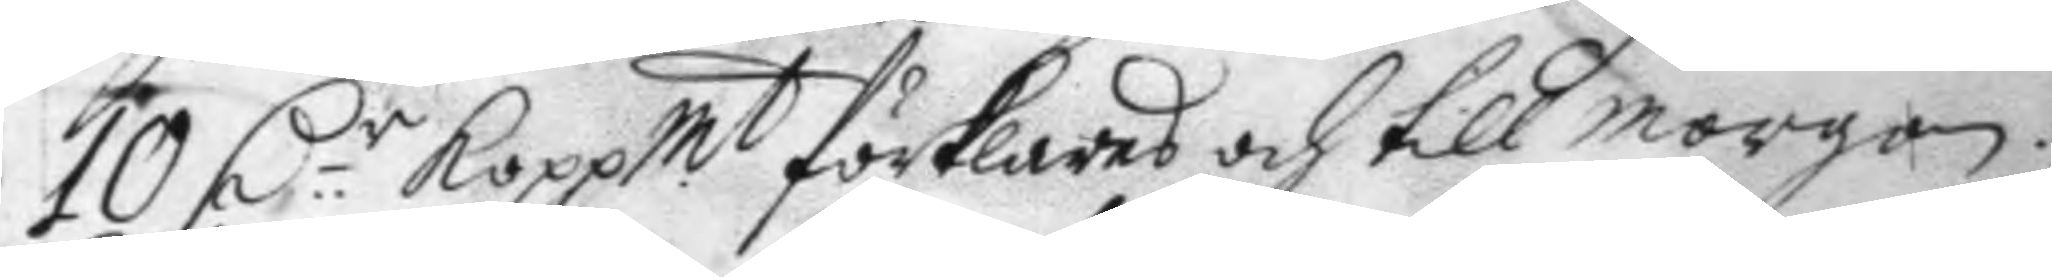10 D:r Koppmt förklaras och till morgon. 
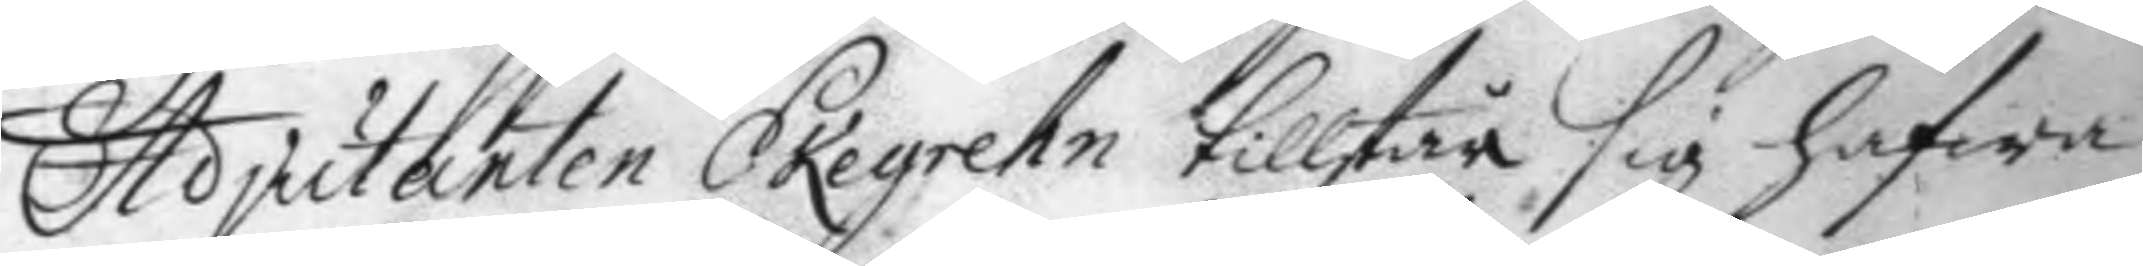Adjutanten Skegrehn tillstår sig hafwa
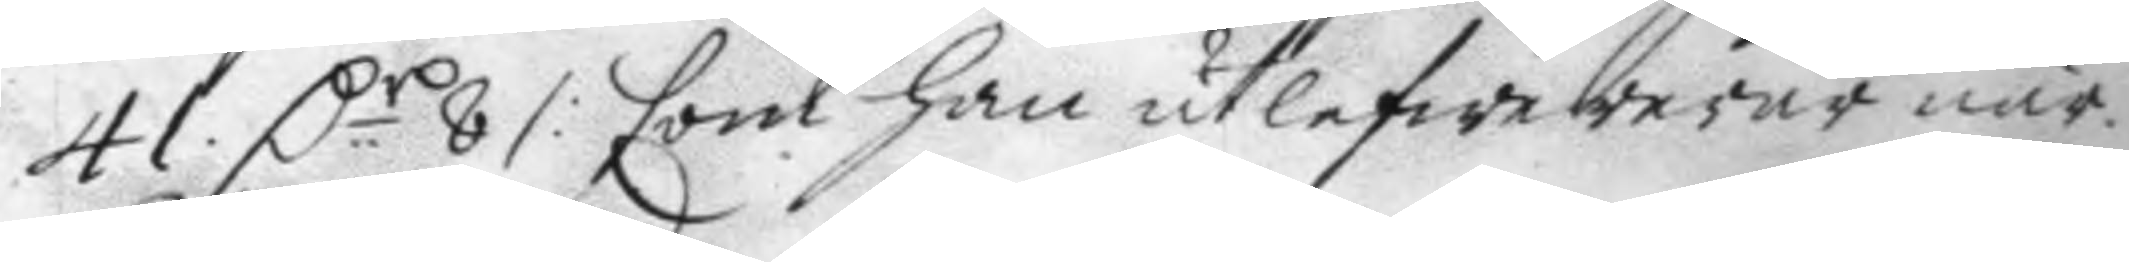41 D:r 8 /: som han utlefwererar när 
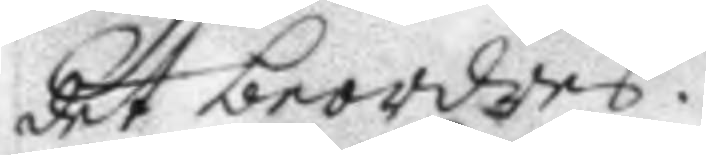det beordres.
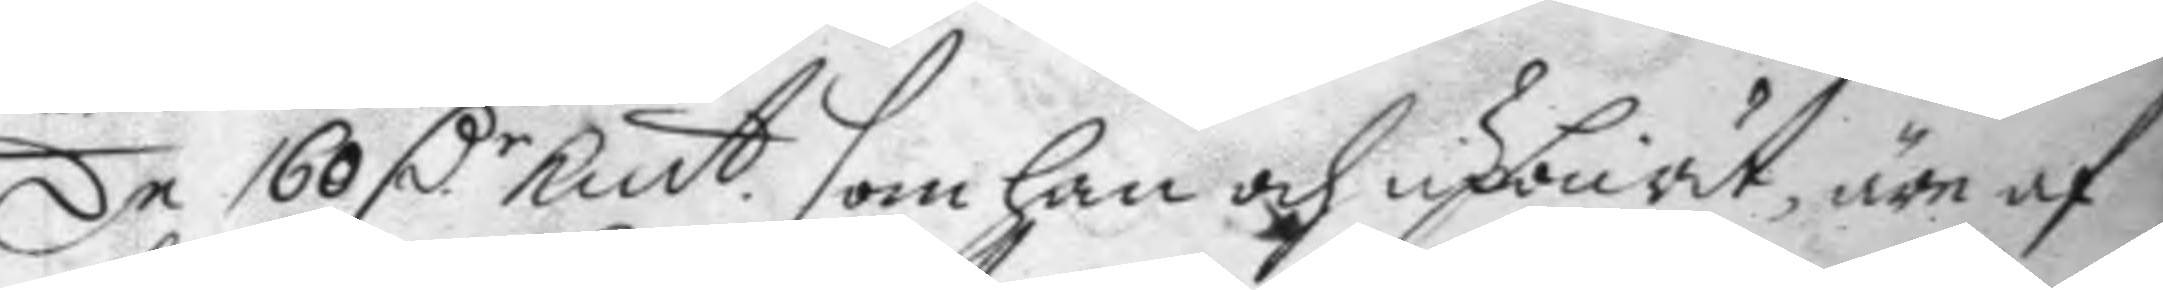De 160 D:r Kmt. som han och upburit, äre af 
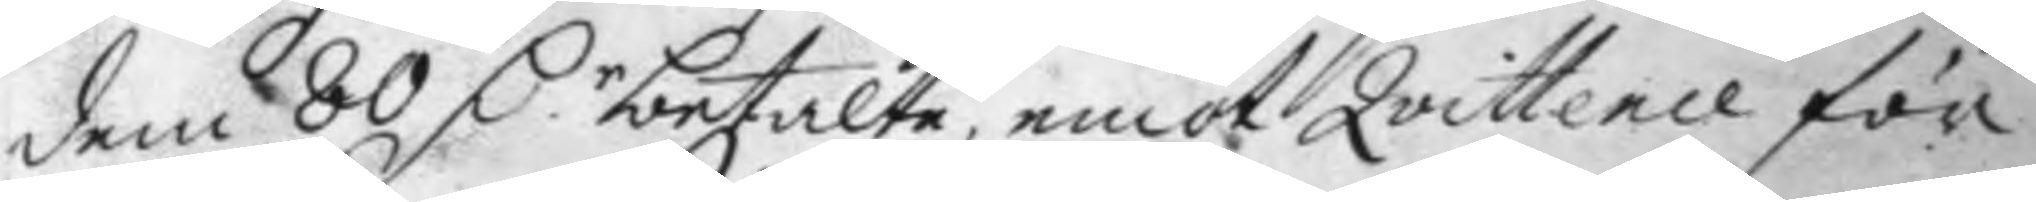dem 80 D.r betalte, emot Qvittence för 
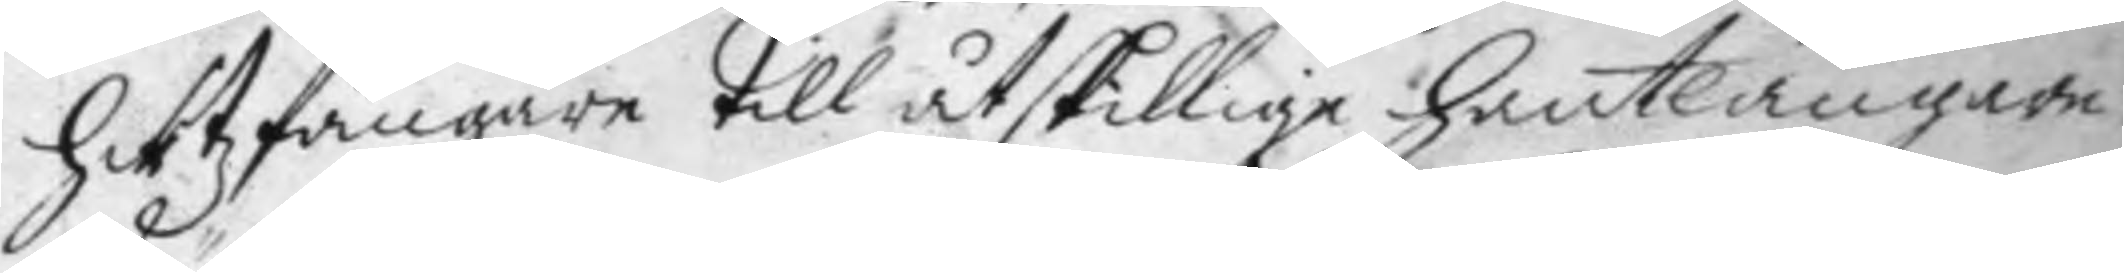Hirtzfängare till åtskillige hantlangare
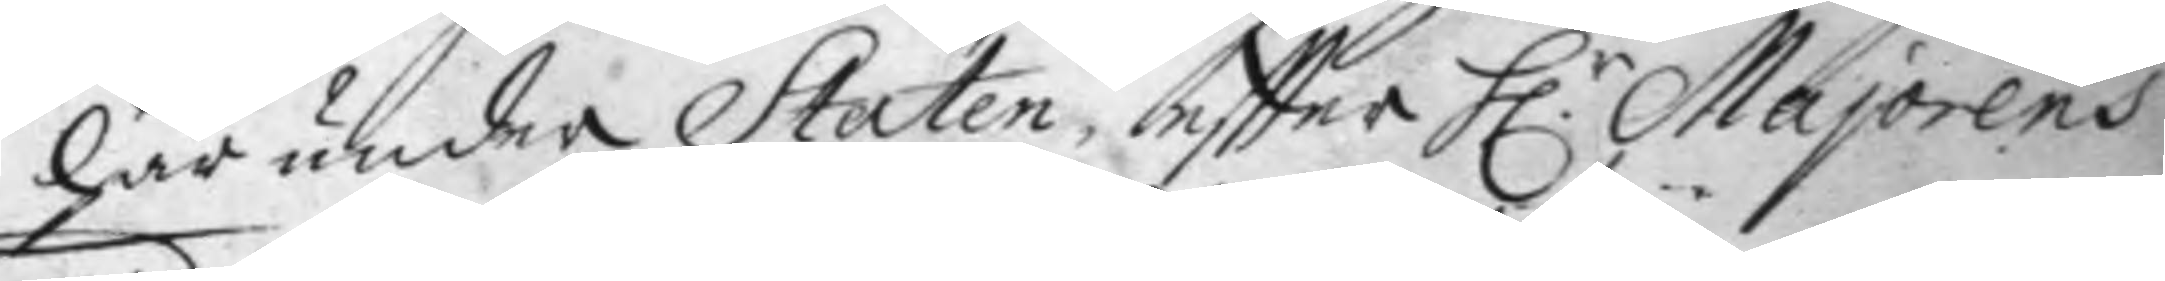här under Staten, eftter H.r Majorens 
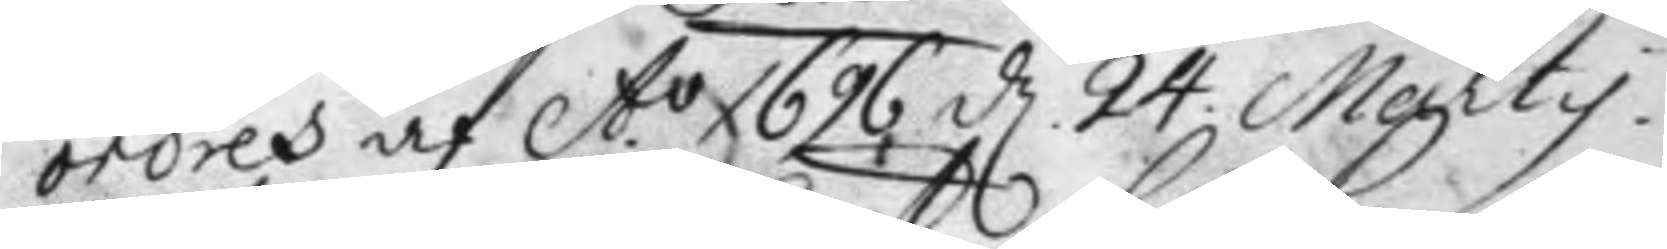ordres af A.o 1696 d. 24 Marty. 
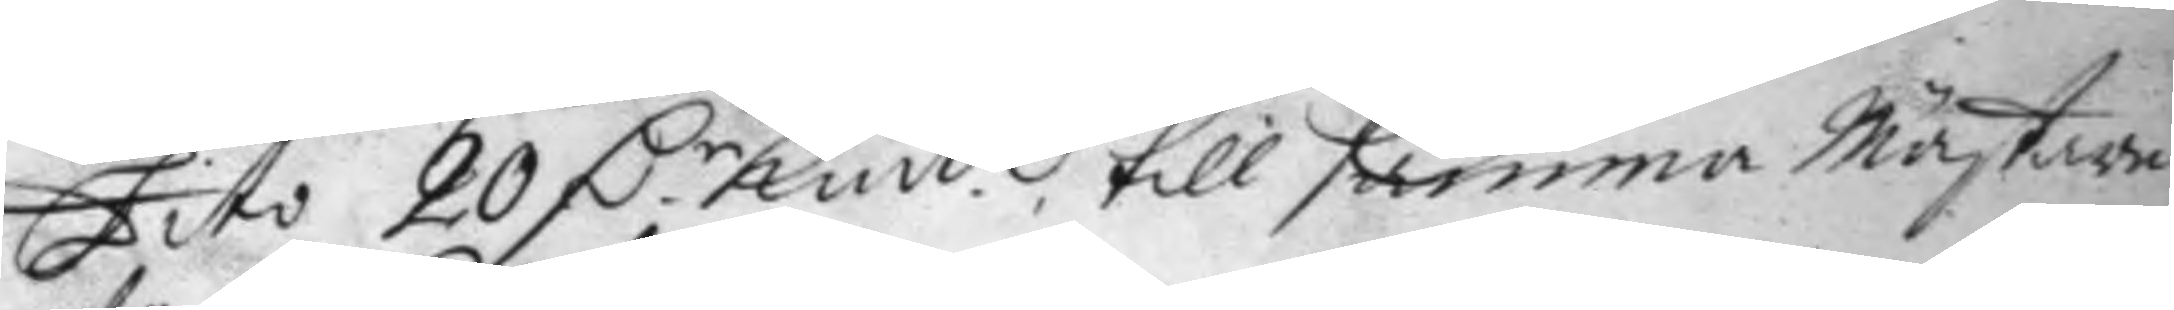Dito 20 D.r Kmt till samma Mästare 
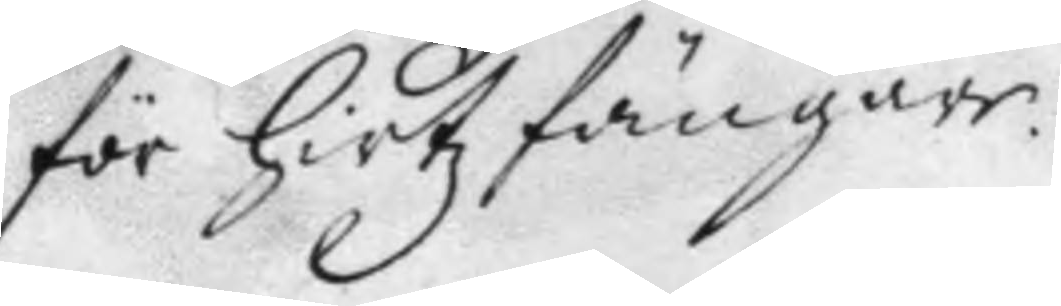för hirtzfängare.
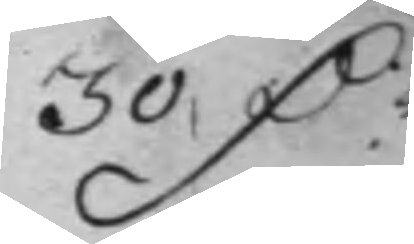30 D.r
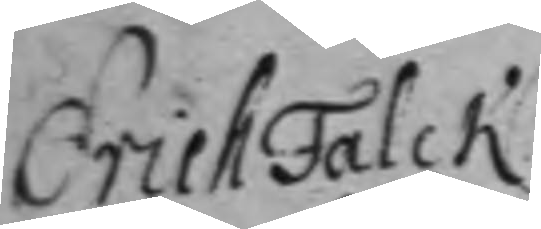Erich Falch
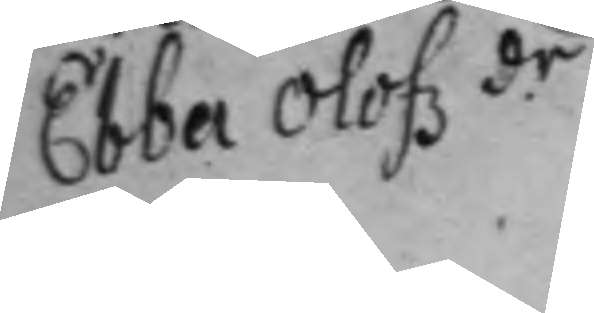Ebba Olofz.dr
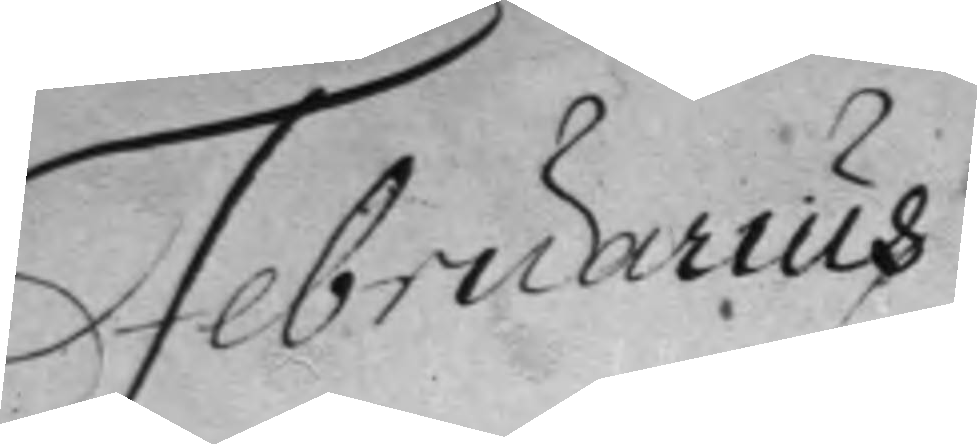Februarius
